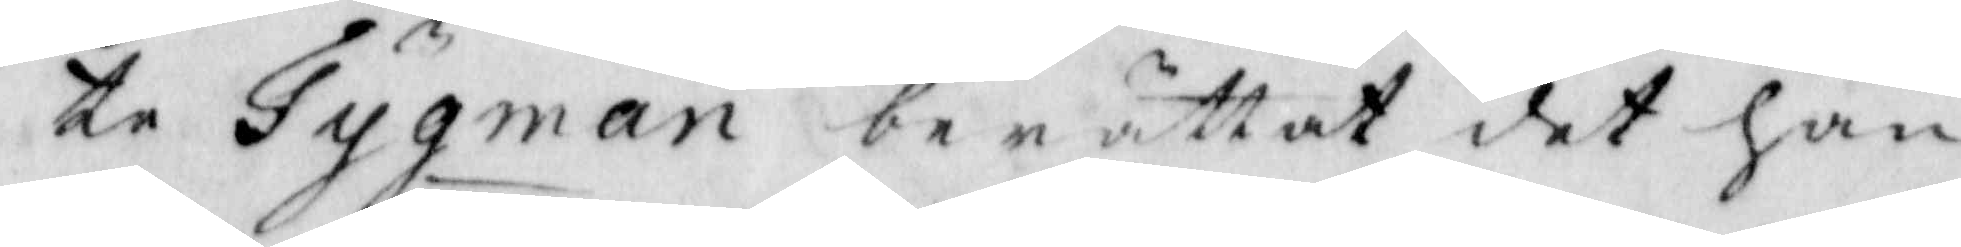te Tygman berättat det han
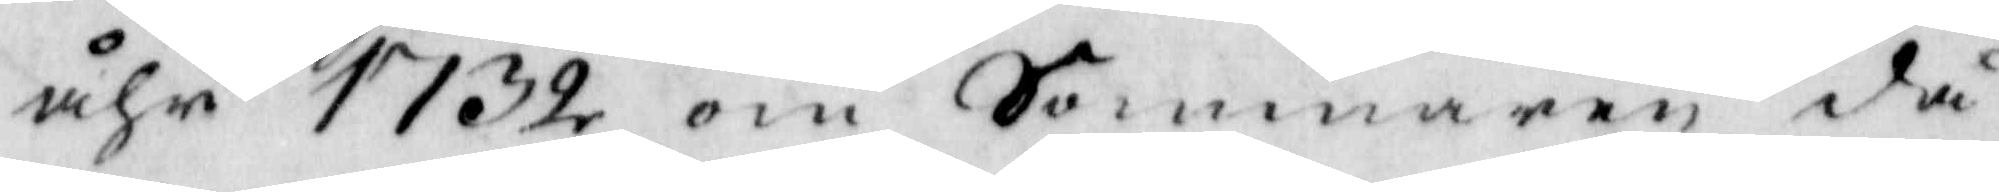åhr 1732 om Sommaren då
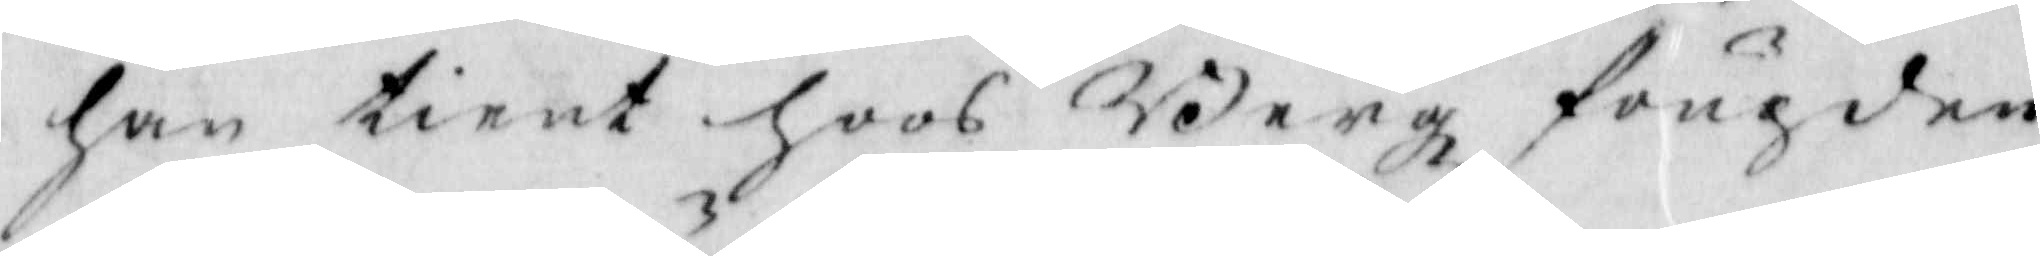han tient hoos Bergz fougden
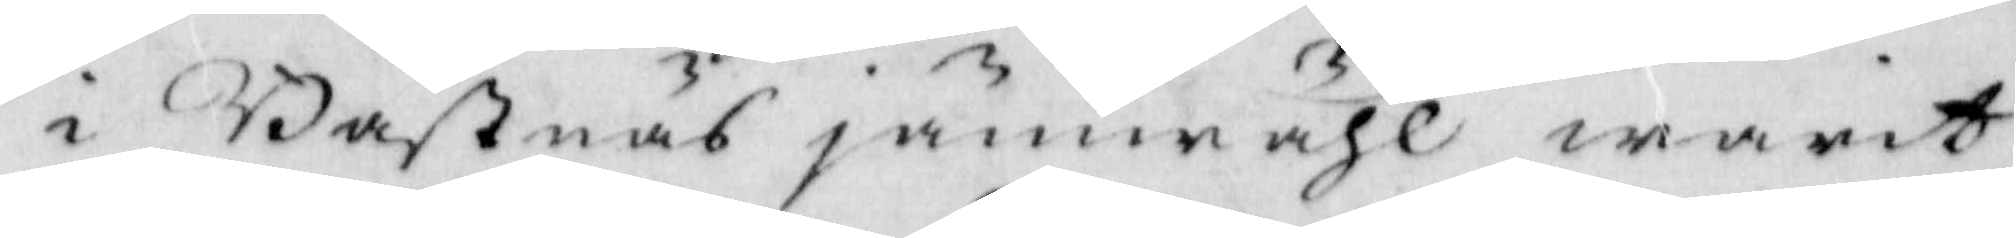i Basrnäs jämwähl warit
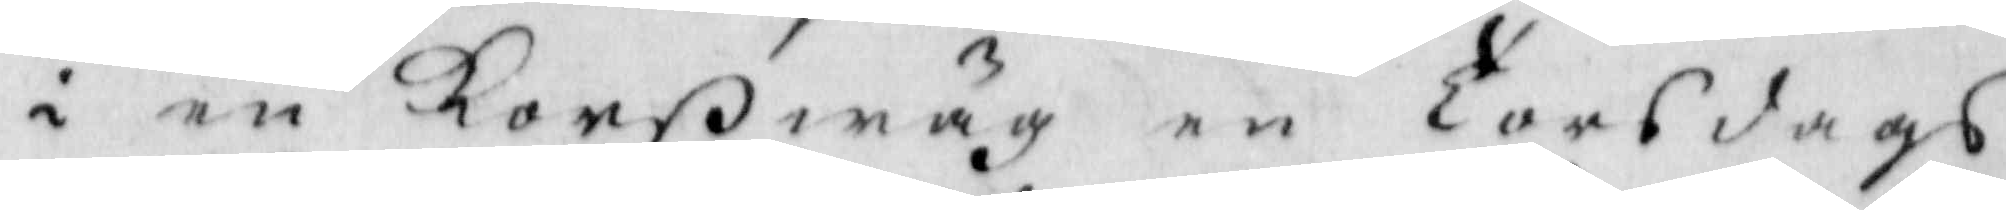i en Korswäg en Torsdags
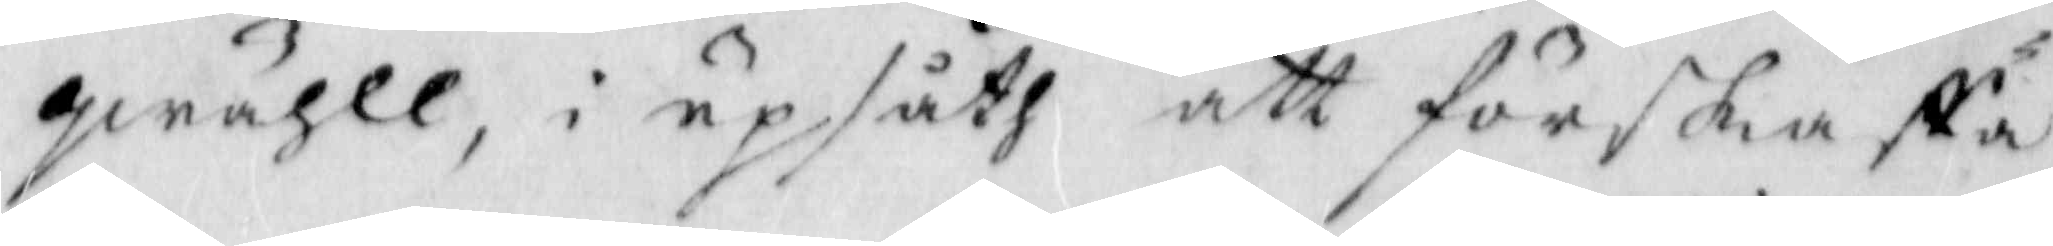qwäll, i upsåth att förskaffa
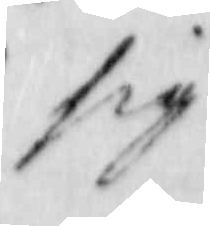sig
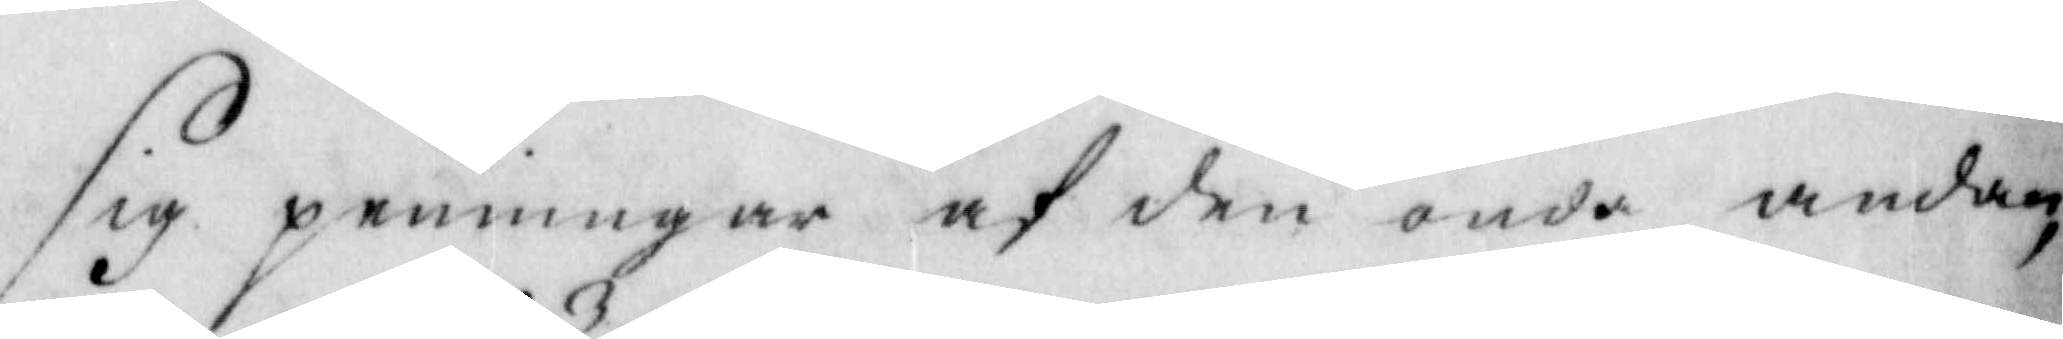sig penningar af den onda andan,
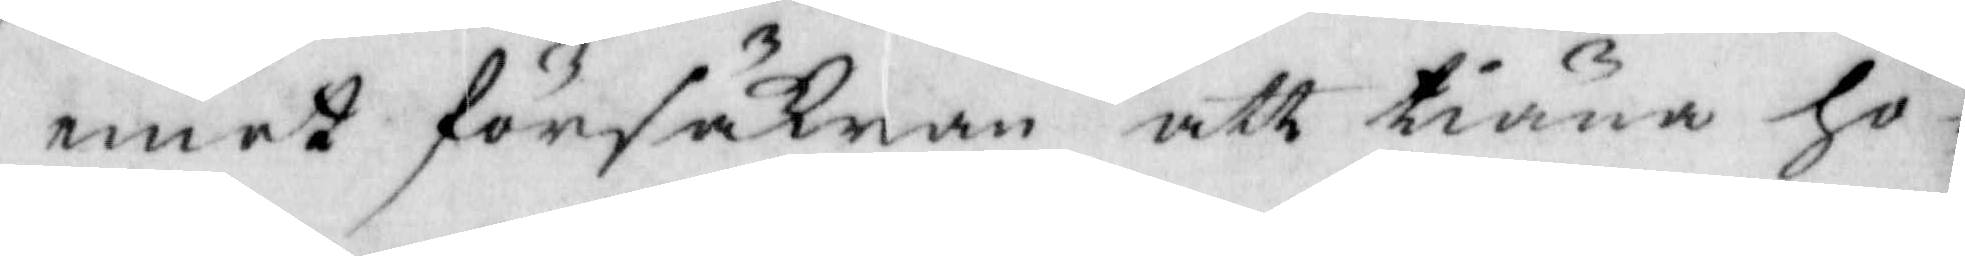emot försäkran att tiäna ho¬
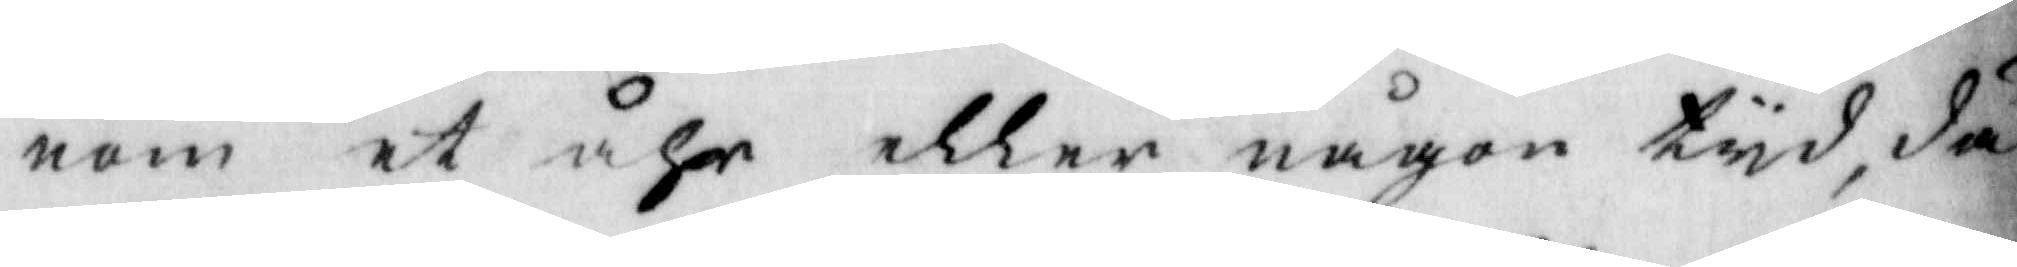nom et åhr eller någon tyd, då
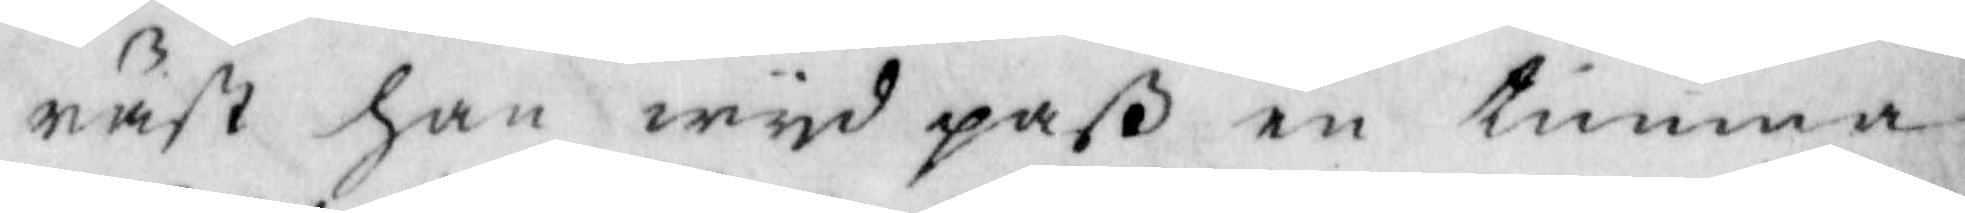näst han wyd paß en timma
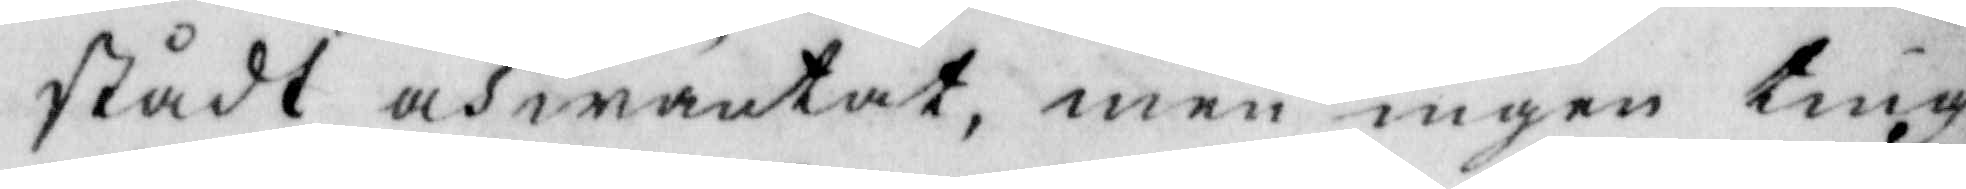stådt och wäntat, men ingen ting
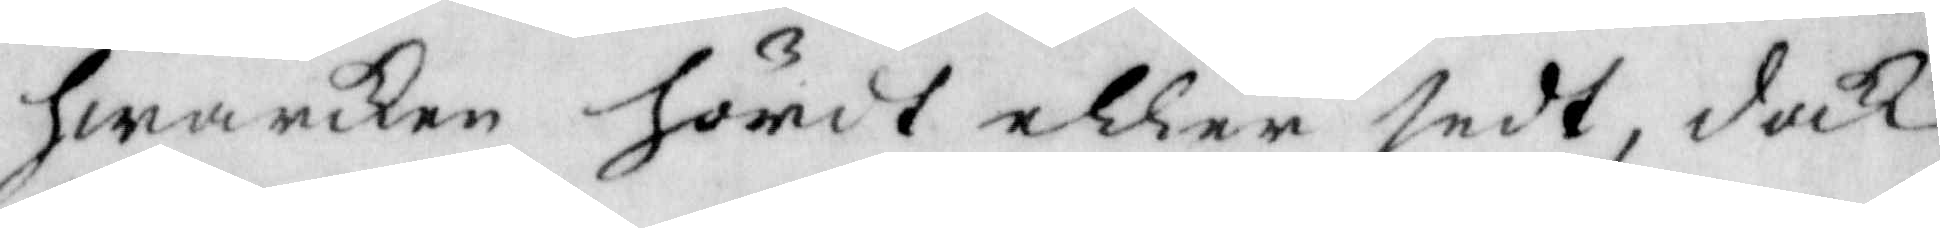hwarken hördt eller sedt, dock
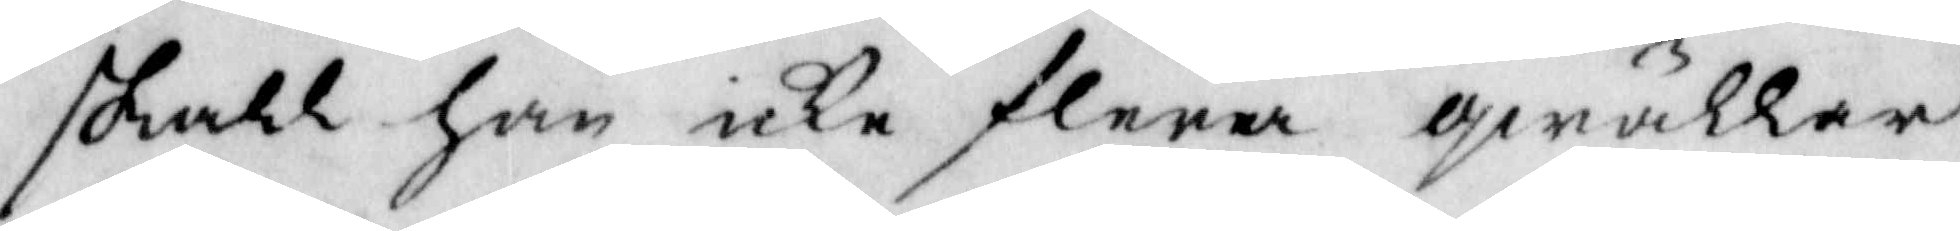skall han icke flera qwällar
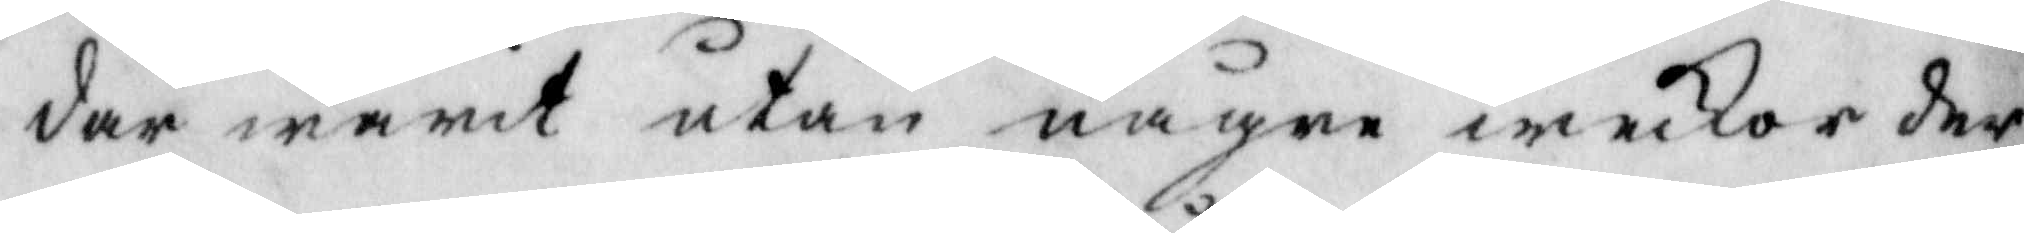där warit utan några weckor der¬
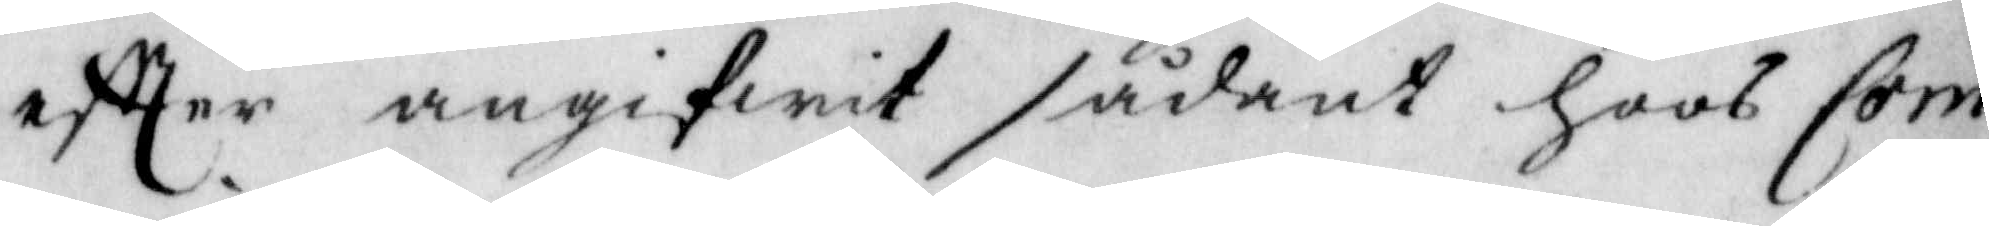eftter angifwit sådant hoos Com¬
